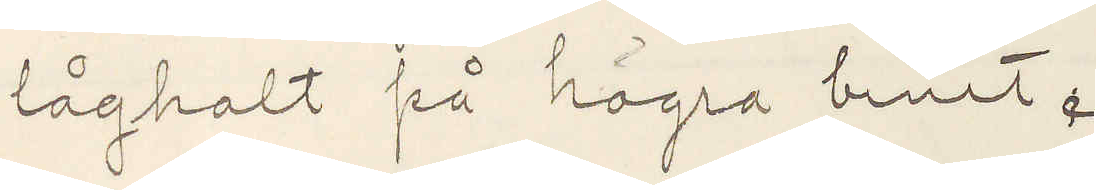låghalt på högra benet.
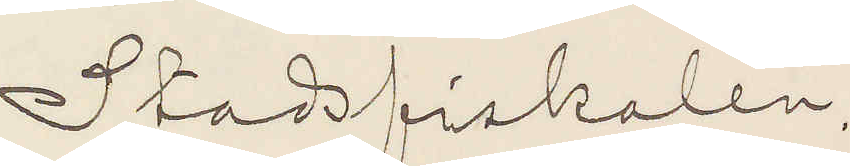Stadsfiskalen.
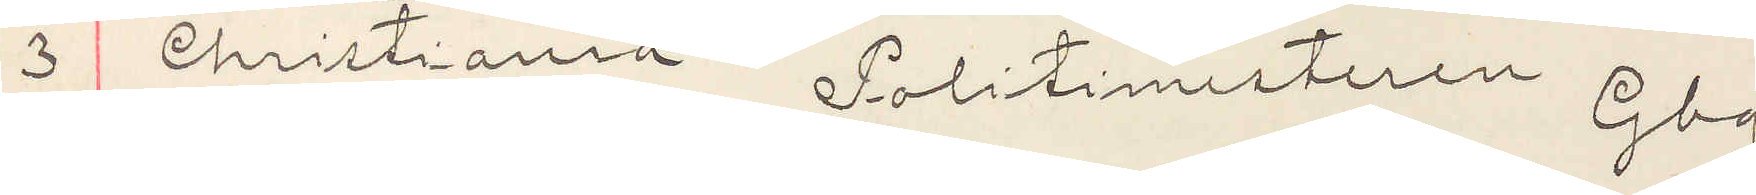3 Christiania Politimesteren Gbg.
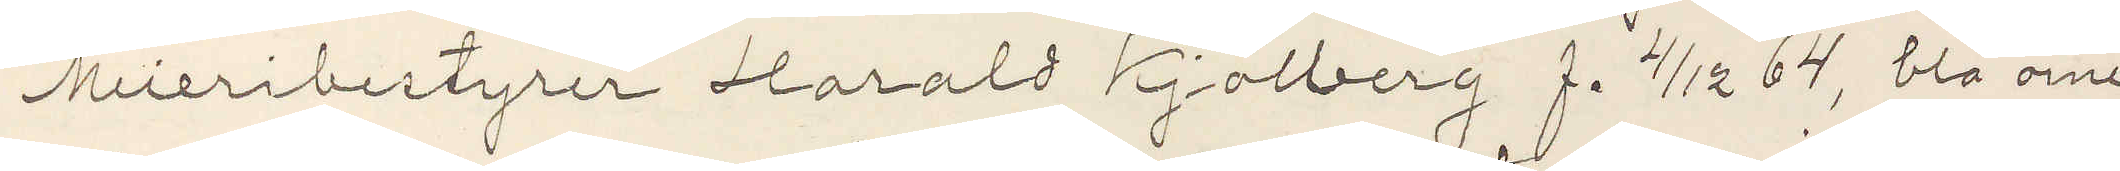Meieribestyrer Harald Kjölberg f. 4/12 64, blå öine,
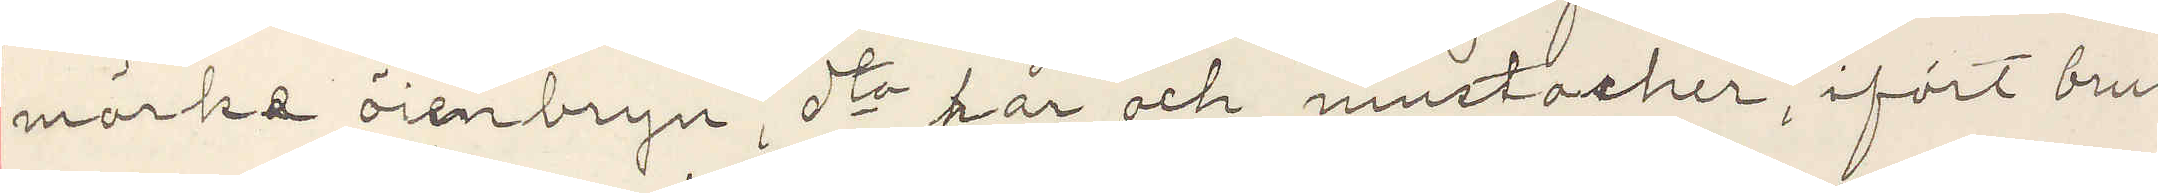mörke öienbryn, dto hår och mustacher, ifört brun
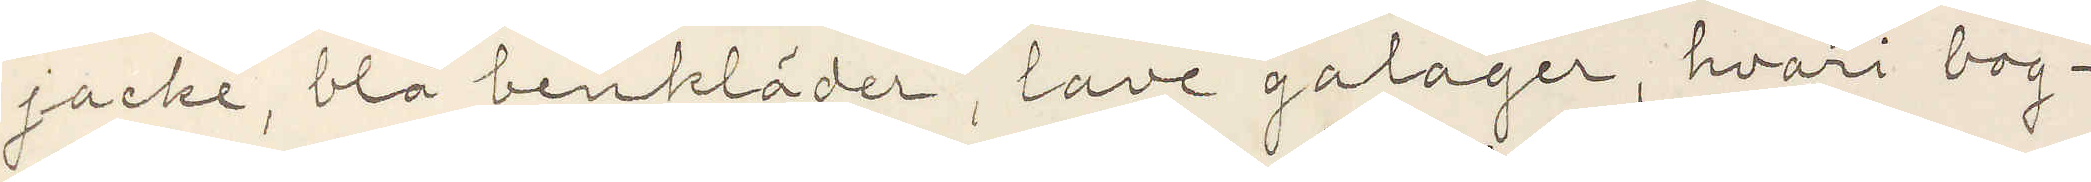jacke, blå benkläder, lave galager, hvari bog¬
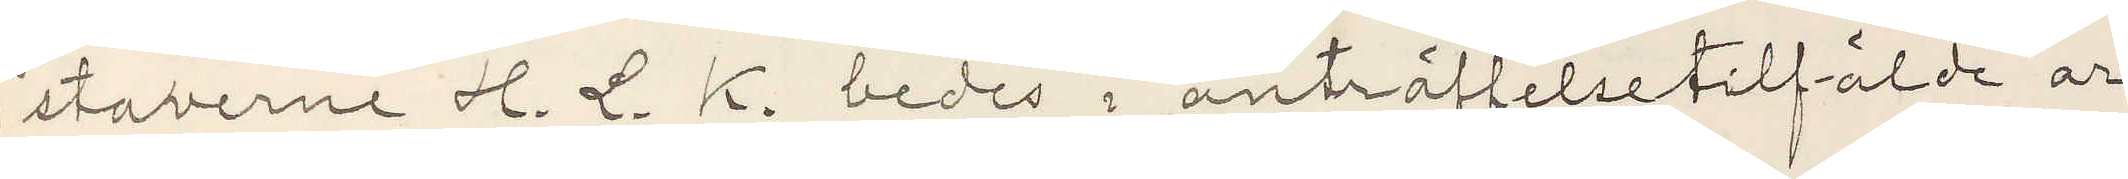staverne H. L. K. bedes i anträffelsetilfälde ar¬
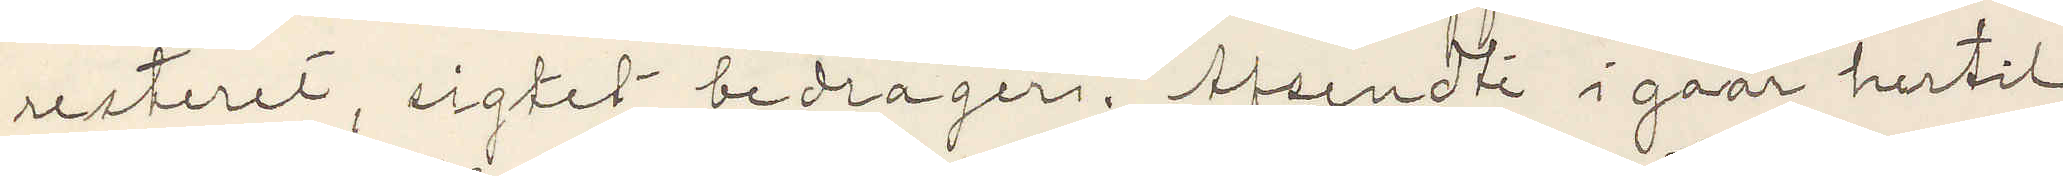resteret, sigtet bedrageri. Afsendte i gaar hertil
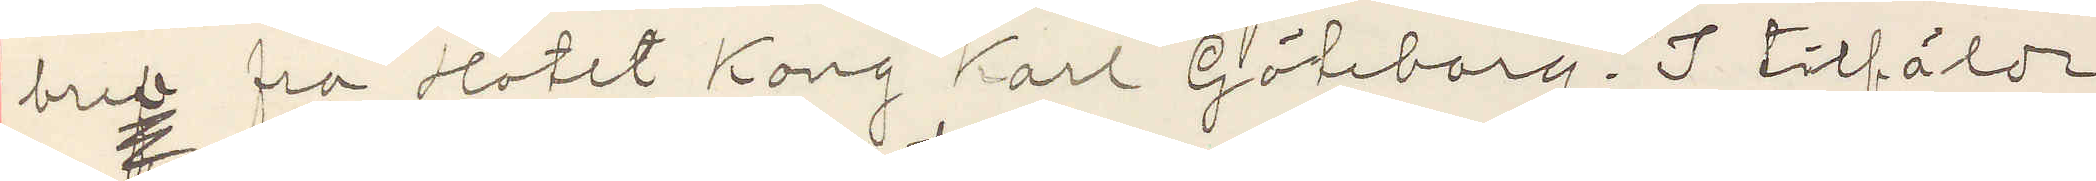bref fra Hotel Kong Karl Göteborg. I tilfälde
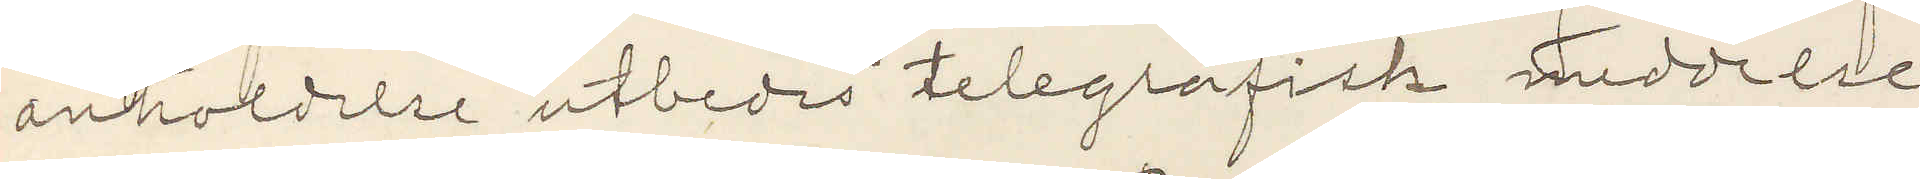anholdelse utbedes telegrafisk meddelse.
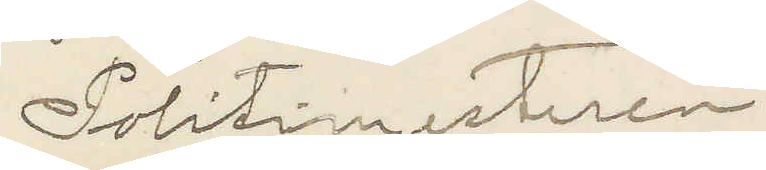Polismesteren.
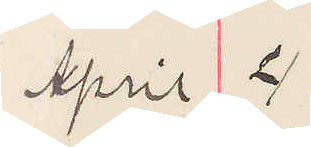April 4
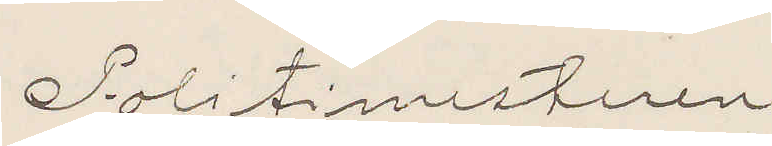Politimesteren
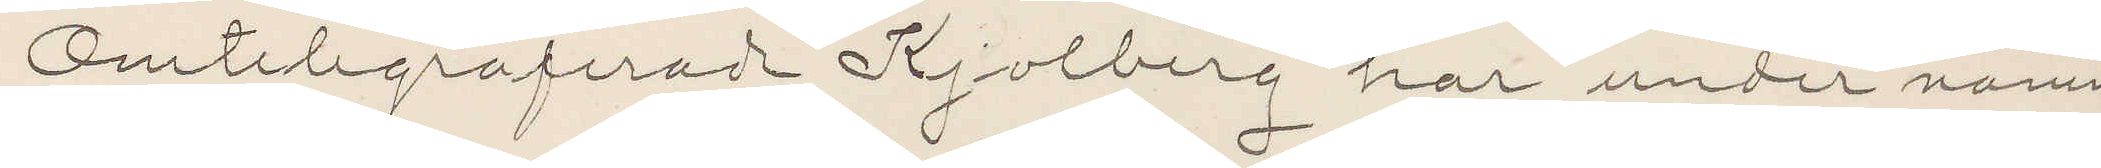Omtelegraferade Kjolberg har under namn
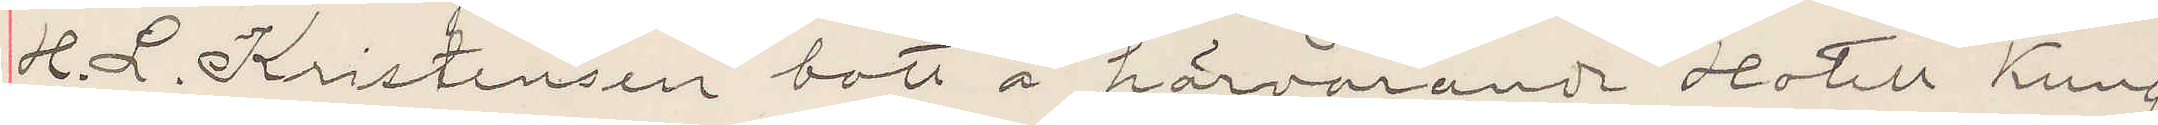H. L. Kristensen bott å härvarande Hotell Kung
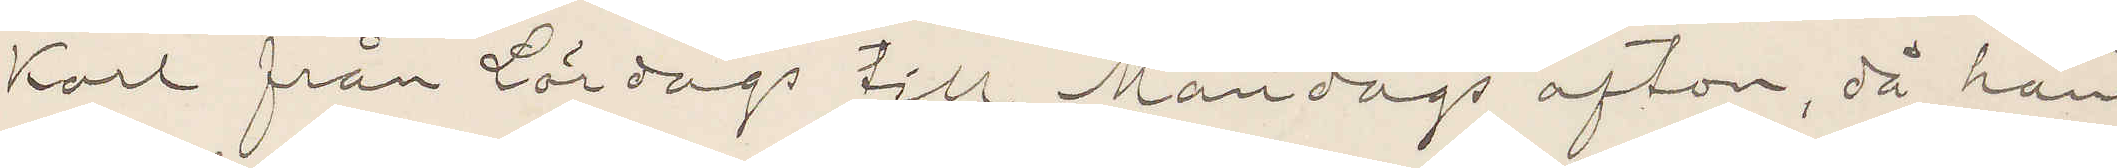Karl från Lördags till Måndags afton, då han
